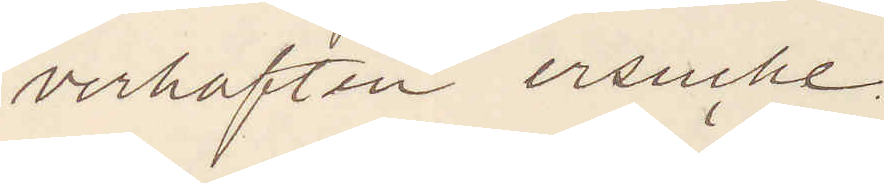verhaften ersuche
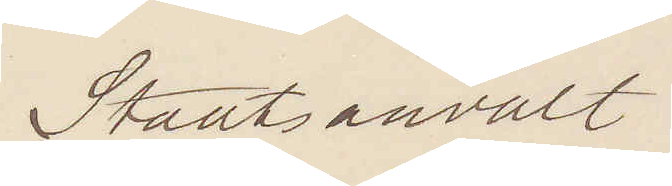Staatsanvalt.
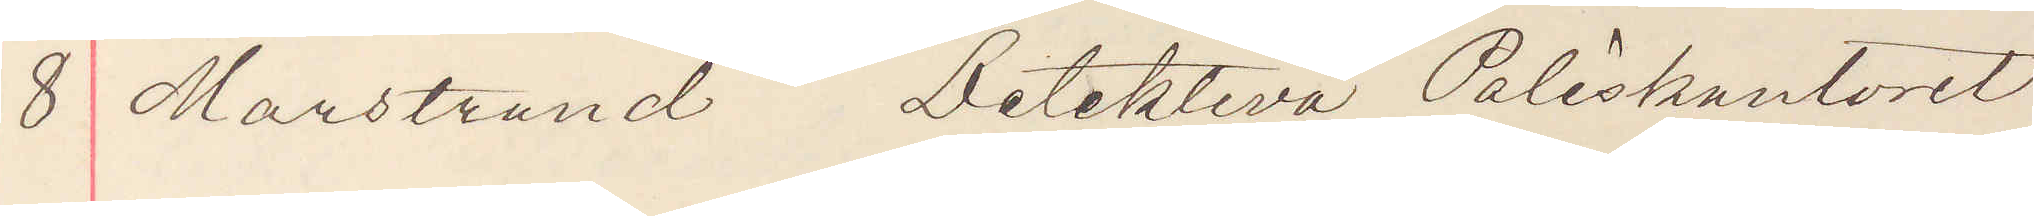8 Marstrand Detektiva Poliskontoret
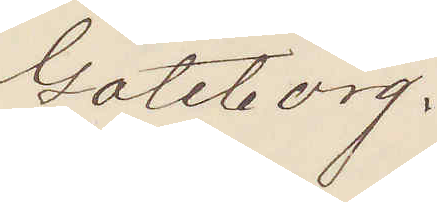Göteborg.
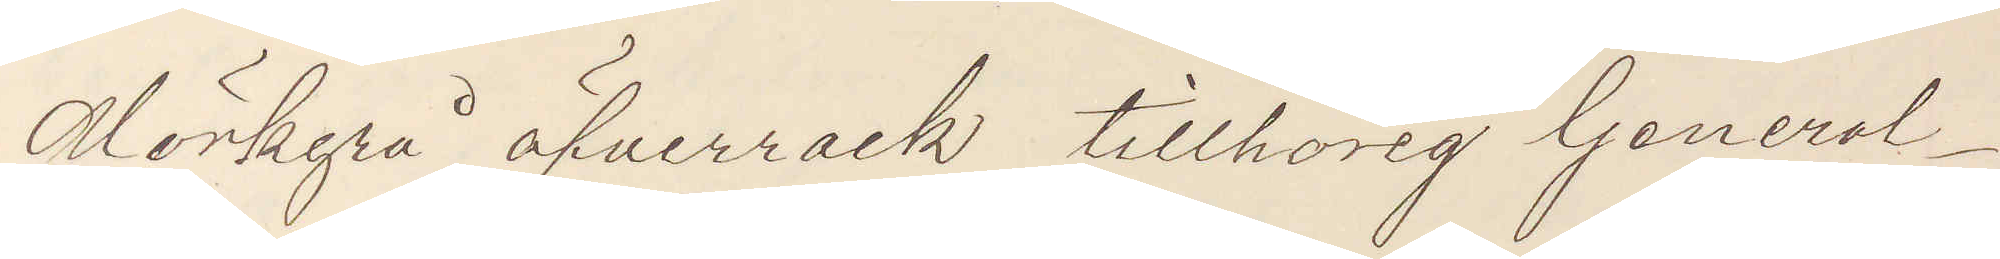Mörkgrå öfverrock tillhörig General¬
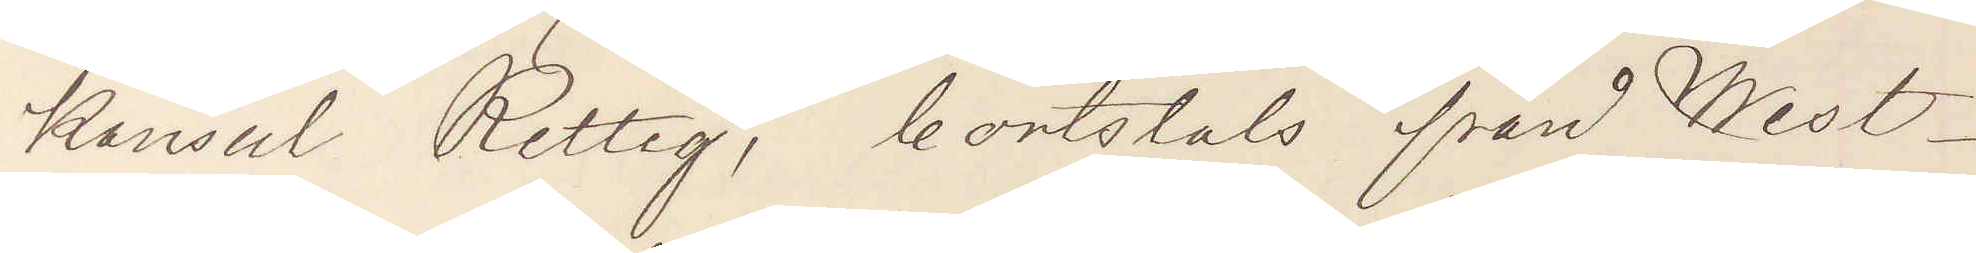Konsul Rettig, bortstals från West¬
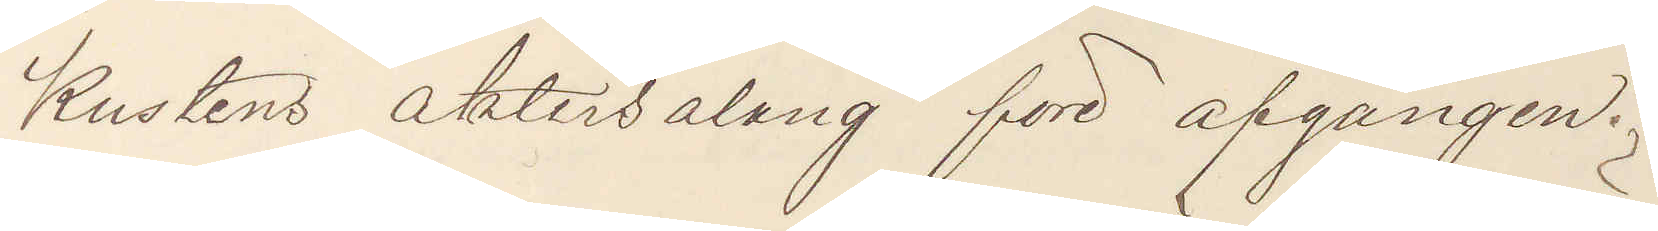Kustens aktersalong före afgången.
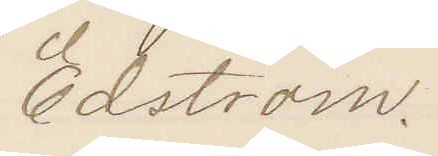Edström.
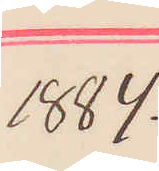1884.
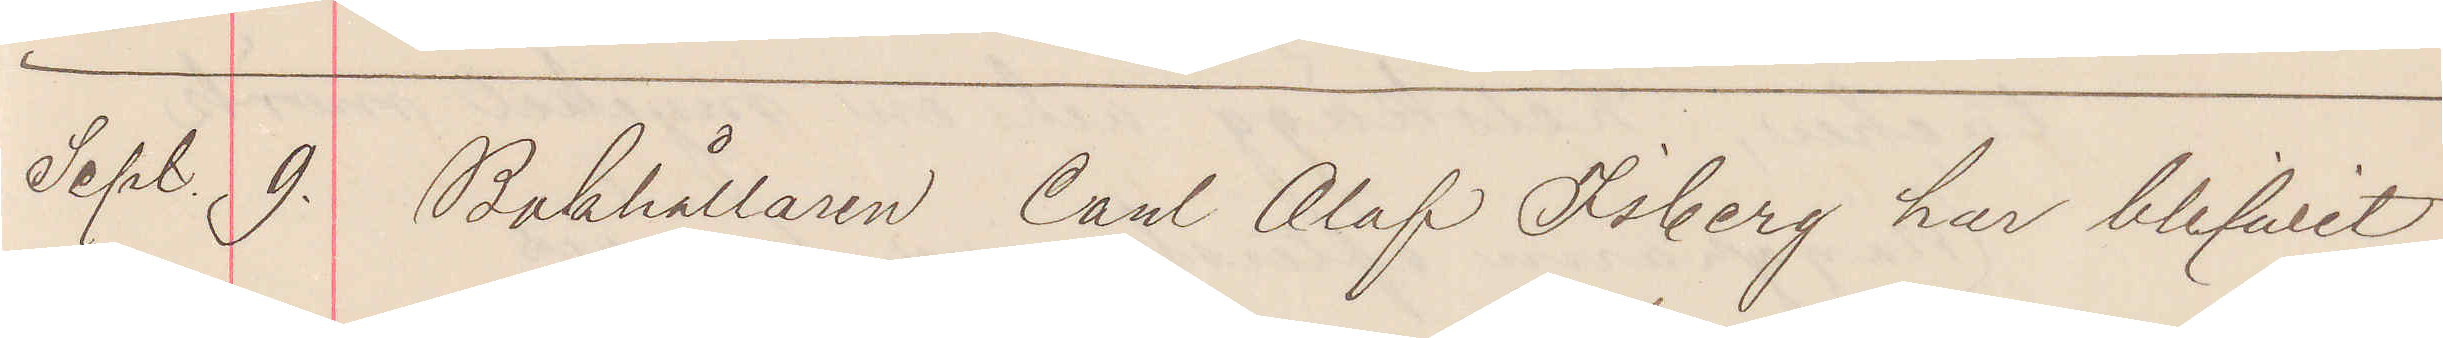Sept. 9. Bokhållaren Carl Olof Isberg har blifvit
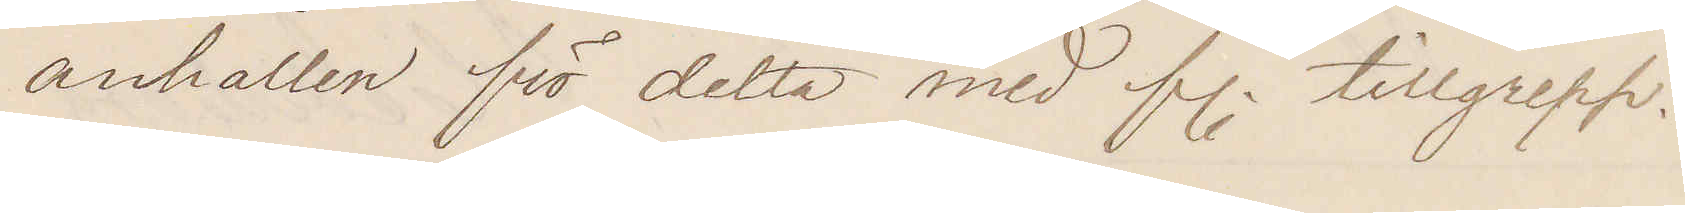anhållen för detta med f. tillgrepp.
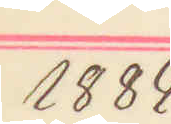1884
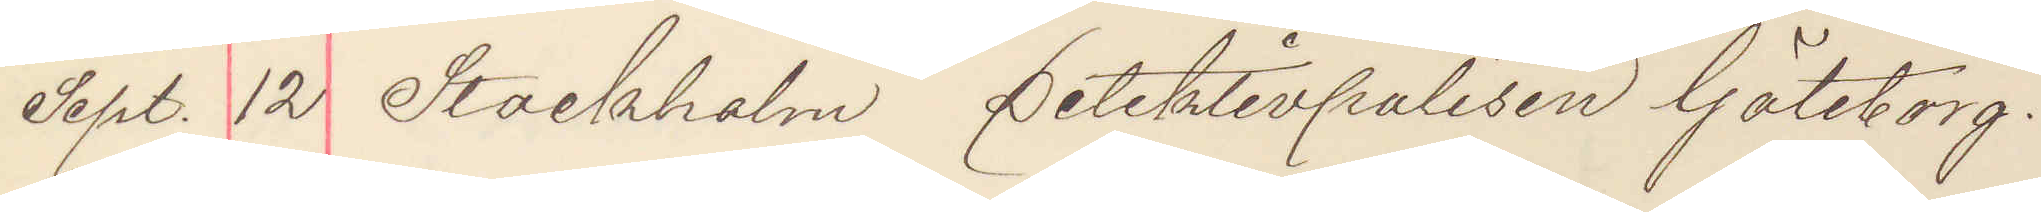Sept. 12 Stockholm Detektivpolisen Göteborg.
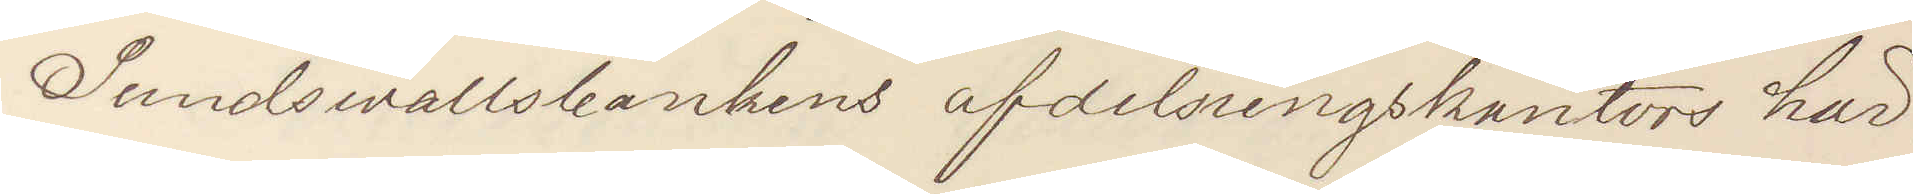Sundswallsbankens afdelningskontor här¬
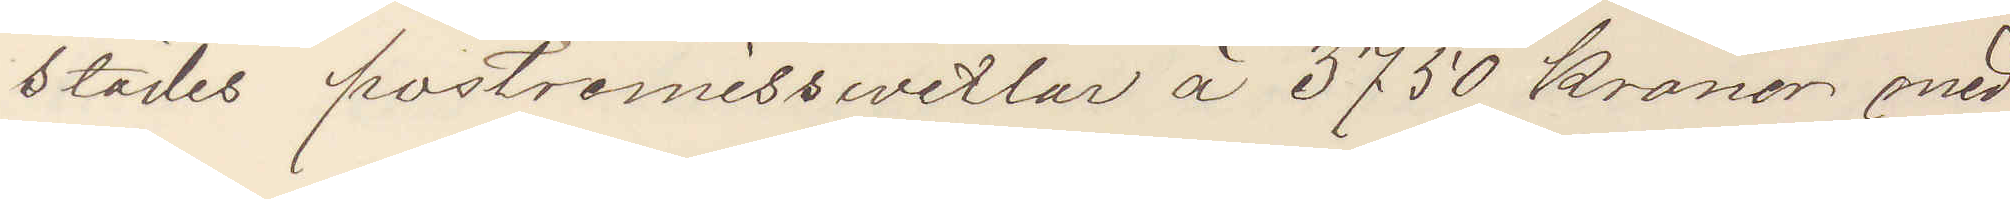städes postremisswexlar à 3750 kronor med
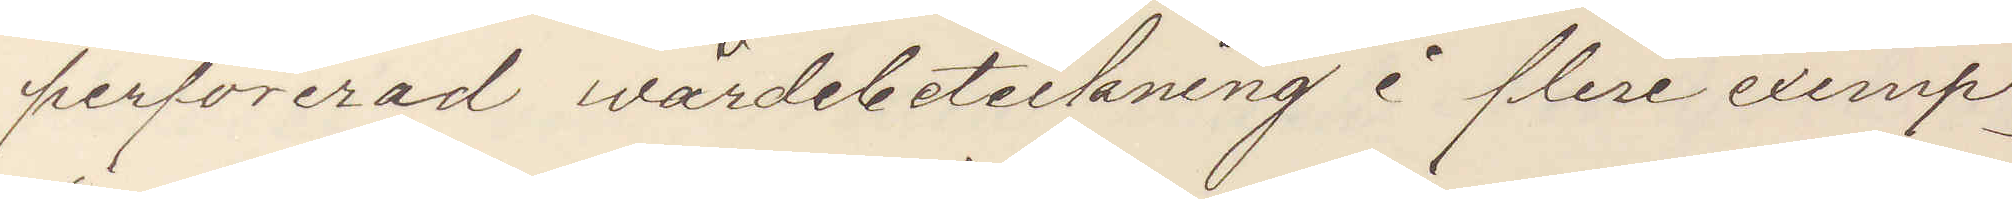perforerad wärdebeteckning i flere exemp¬
